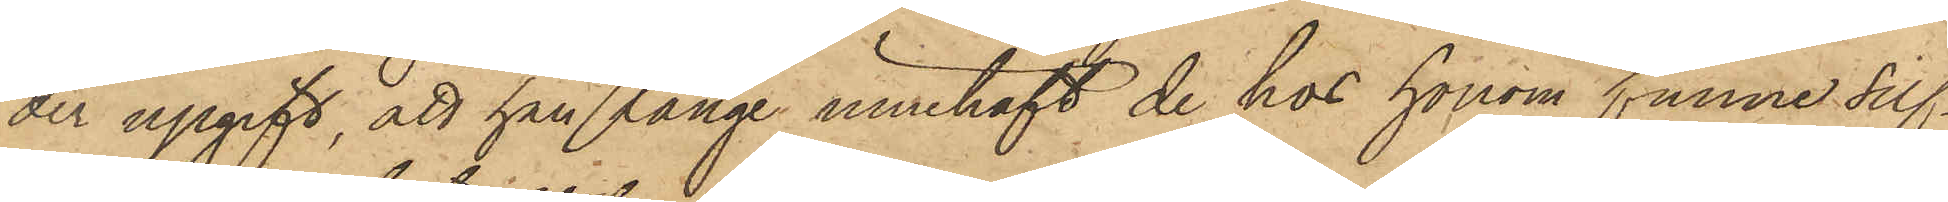der upgift, att han länge innehaft de hos honom funne silf¬
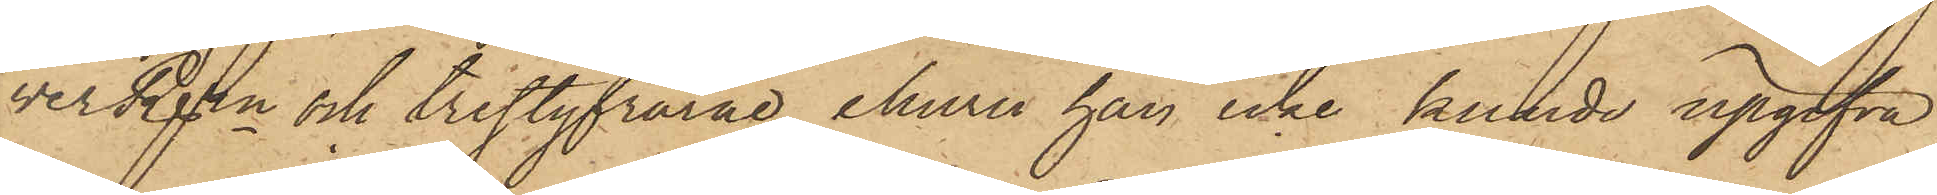verRgn och trestyfrarne, ehuru han icke kunde upgifva
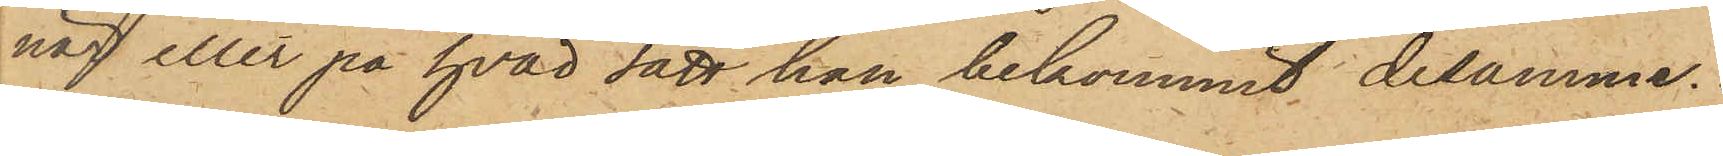när eller på hvad sätt han bekommit desamme.
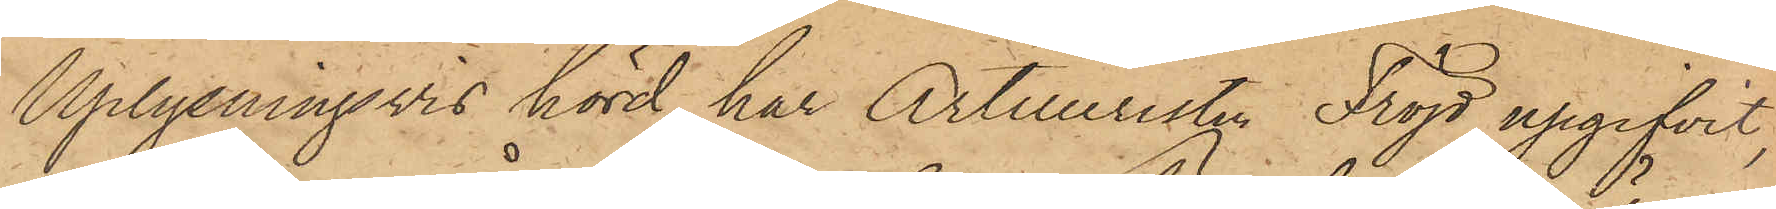Uplysningsvis hörd har Artilleristen Fröjd upgifvit,
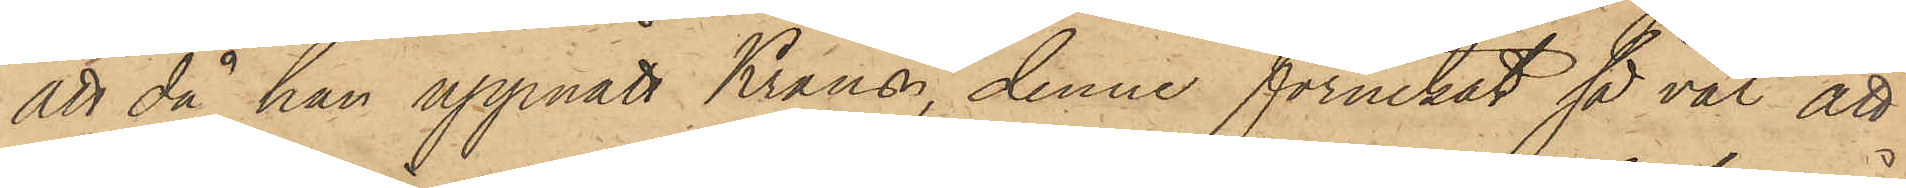att då han uppnått Krans, denne förnekat så väl att
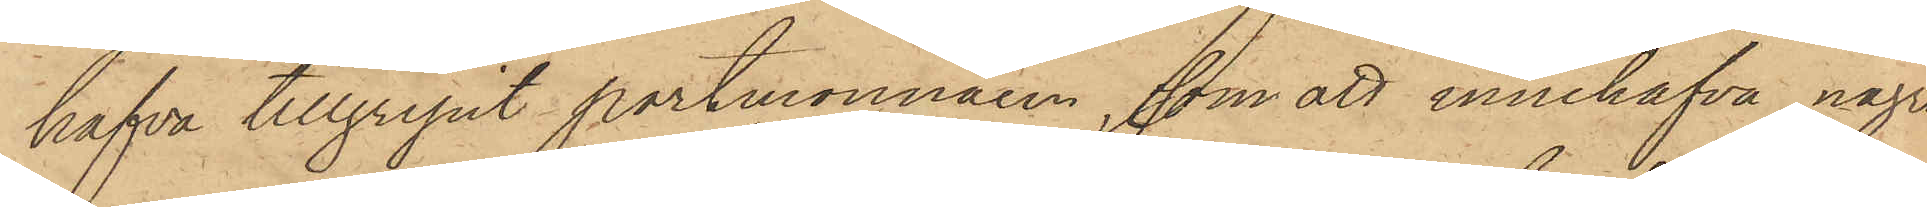hafva tillgripit portmonnaien, som att innehafva några
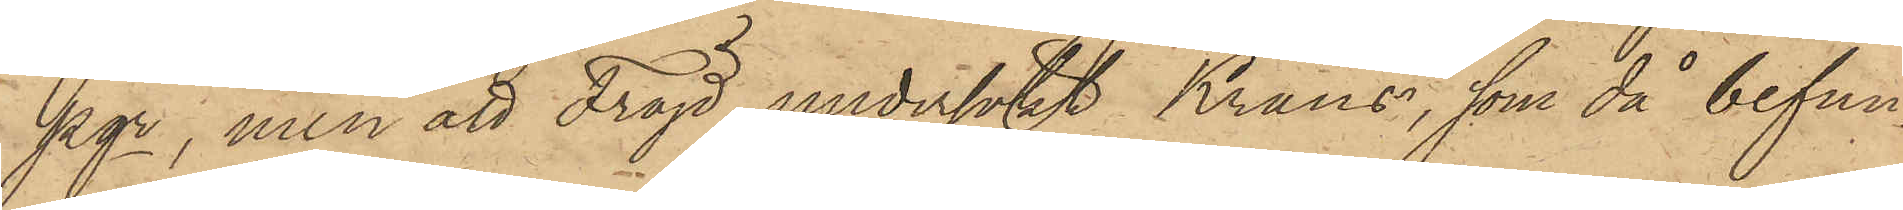pgr, men att Fröjd undersökt Krans, som då befun¬
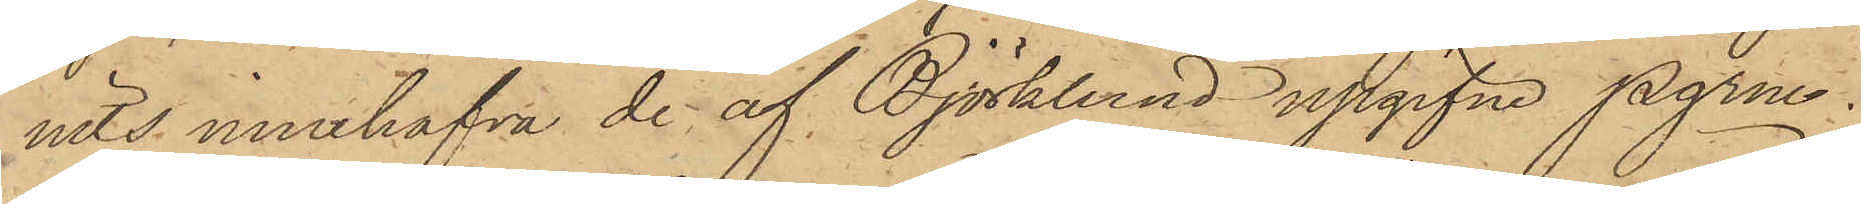nits innehafva de af Björklund upgifne pgrne.
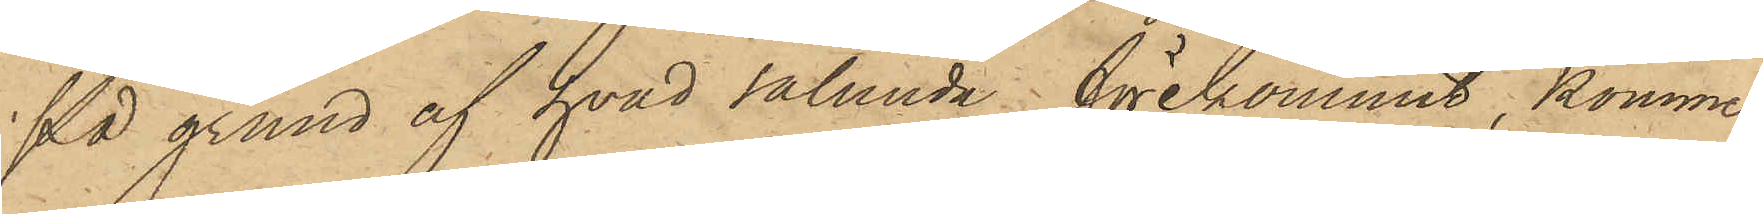På grund af hvad sålunda förekommit, kommer
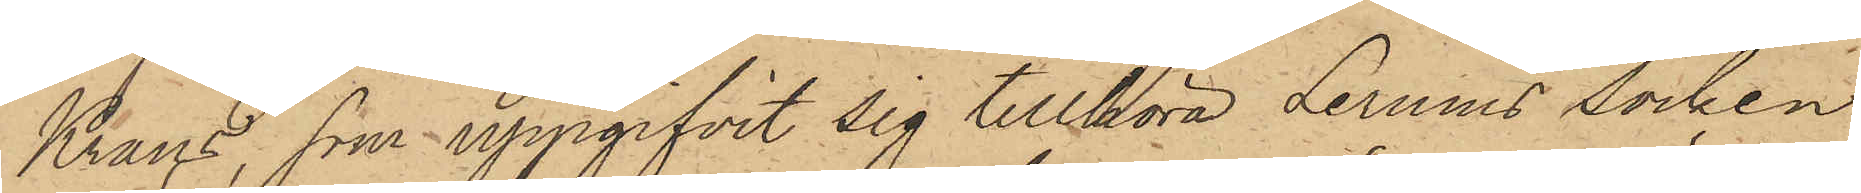Krans, som uppgifvit sig tillhöra Lerums Socken,
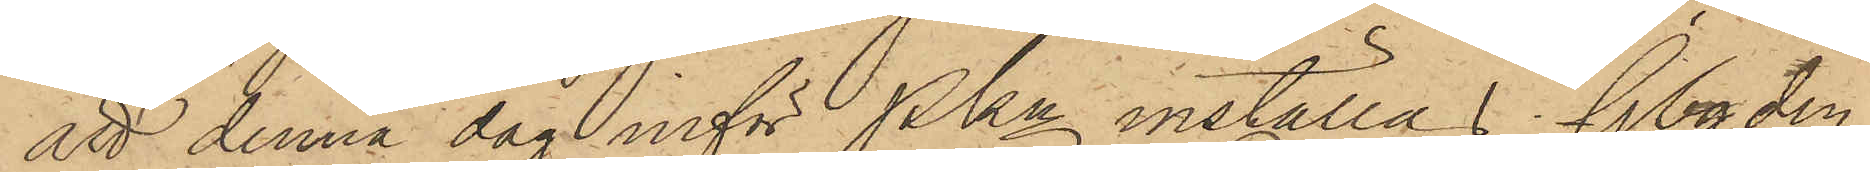att denna dag inför Pkn inställas. Gbg den
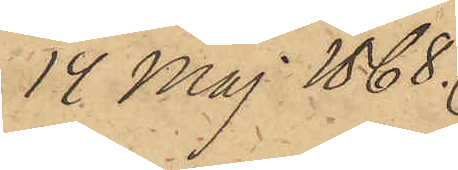14 Maj 1868.
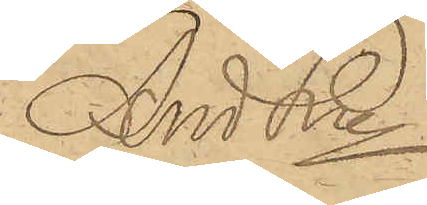And Ln
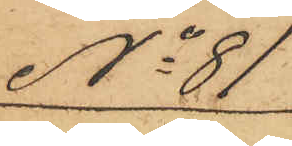No 81
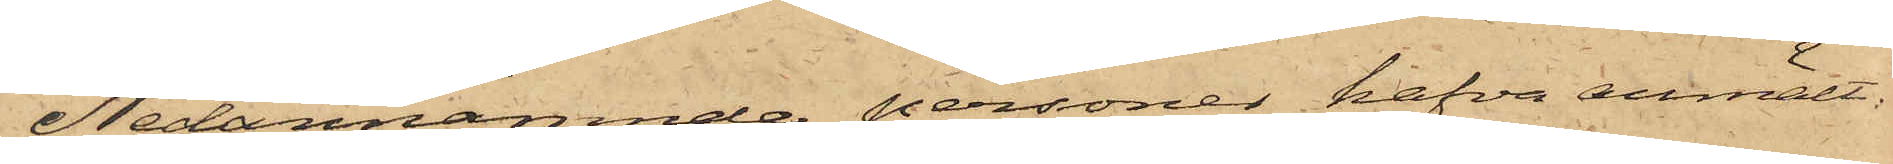Nedannämnde personer hafva anmält:
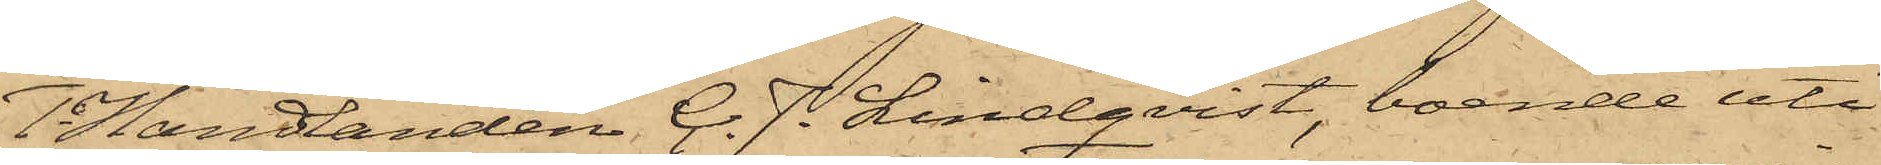Handlanden C. J. Lindqvist, boende uti
